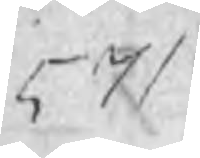571
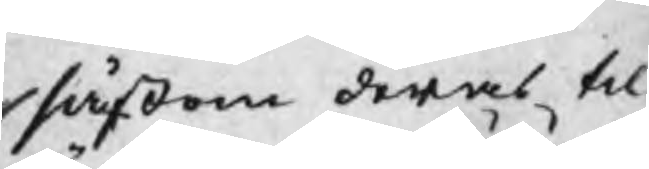såsom deras till
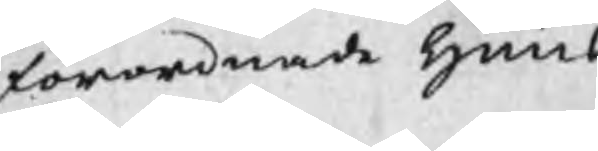förordnade huus
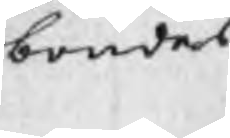bondes
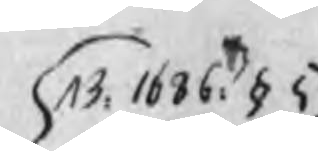B. 1686: § 5
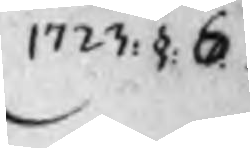1723: § 6
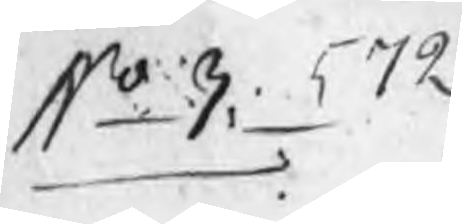No 3, 572
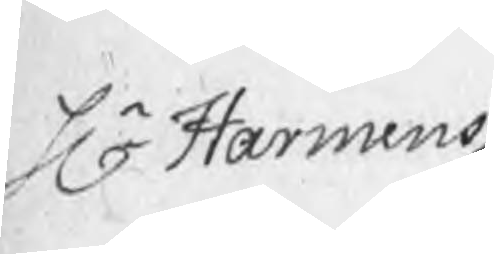Hr Harmens
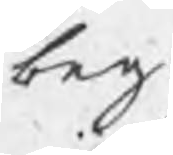beg:
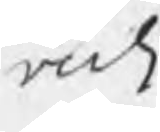vidi
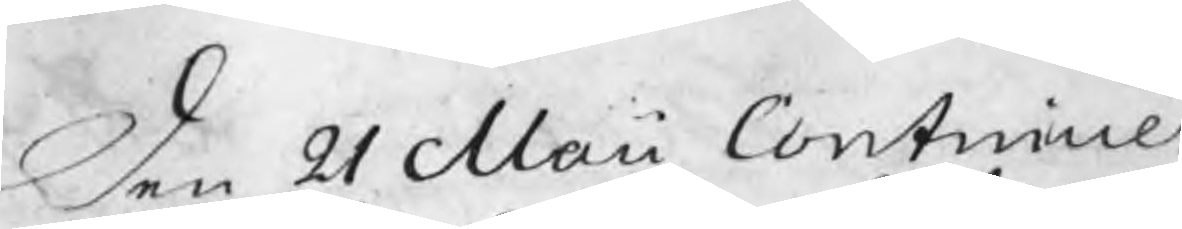Den 21 Maii Continuer
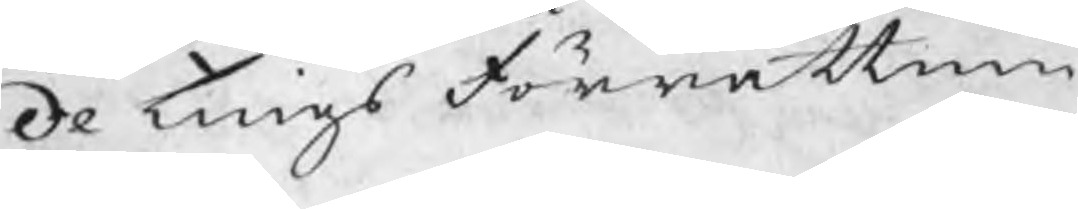de tings Förrättnin
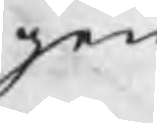gen
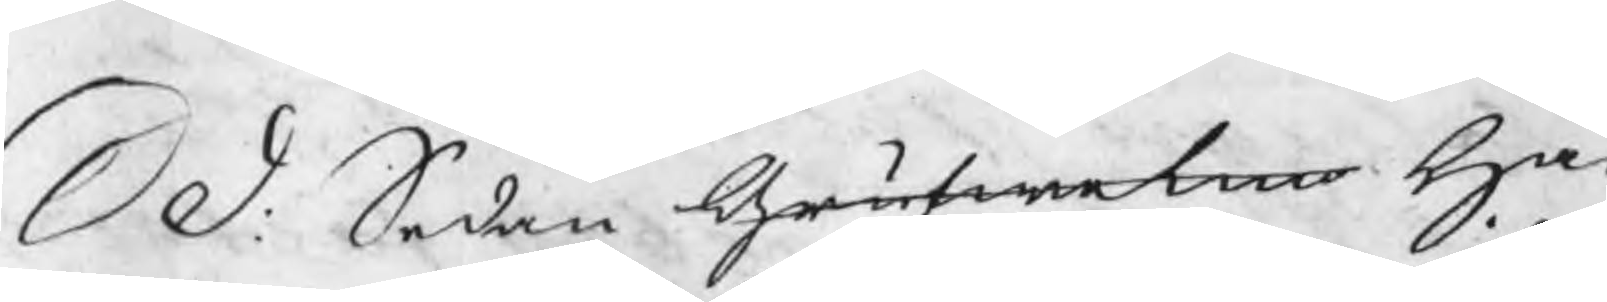S D: Sedan Grufwetin Ha
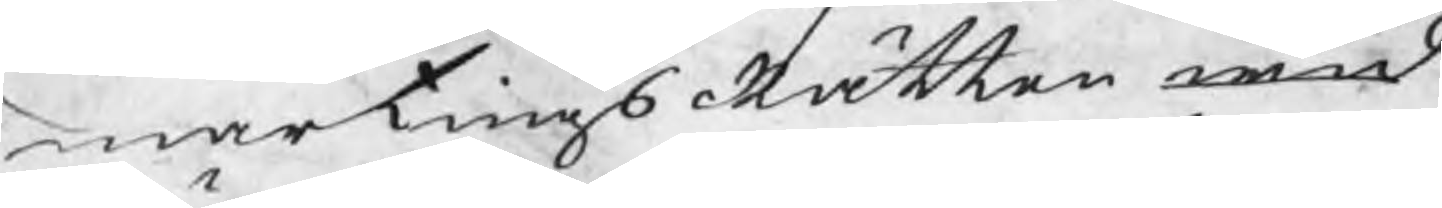marstingsRätten wid
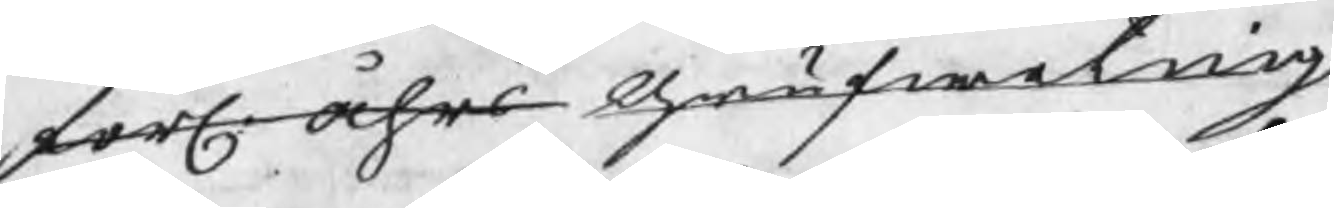förl. åhrs Grufweting
